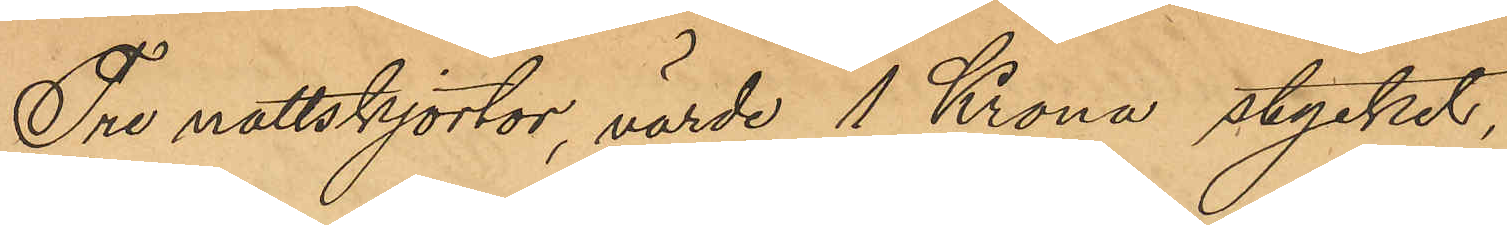Tre nattskjortor, värde 1 Krona stycket,
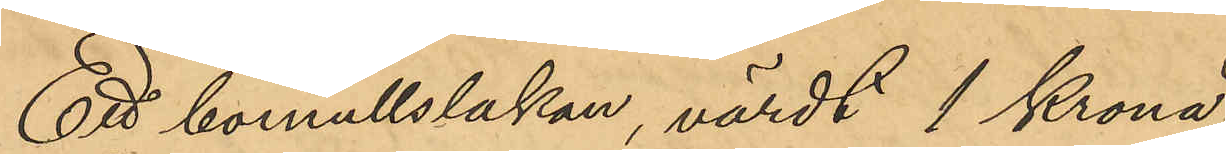Ett bomullslakan, värdt 1 Krona,
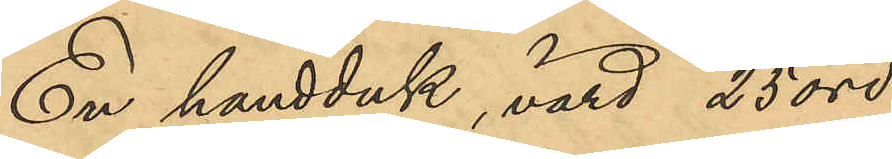En handduk, värd 25 öre
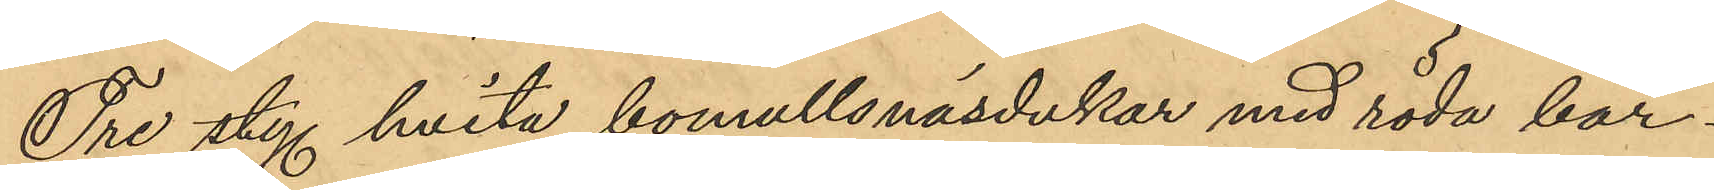Tre sty. hvita bomullsnäsdukar med röda bår¬
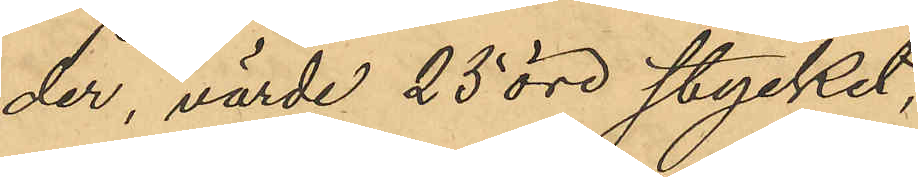der värde 25 öre stycket,
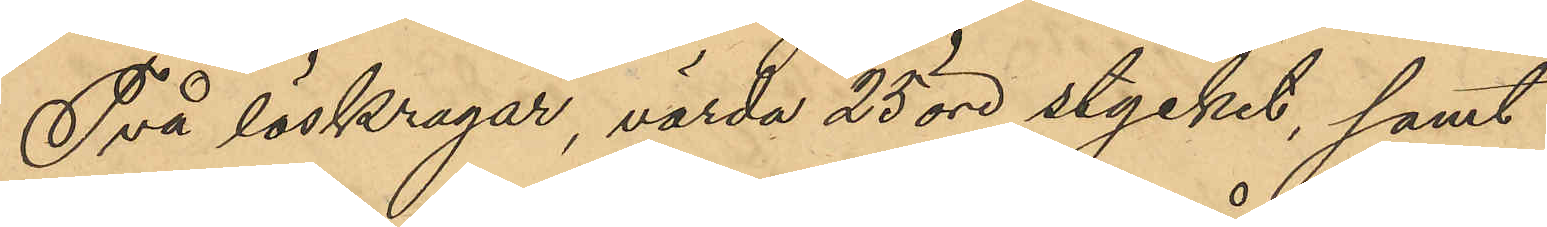Två löskragar, värda 25 öre stycket, samt
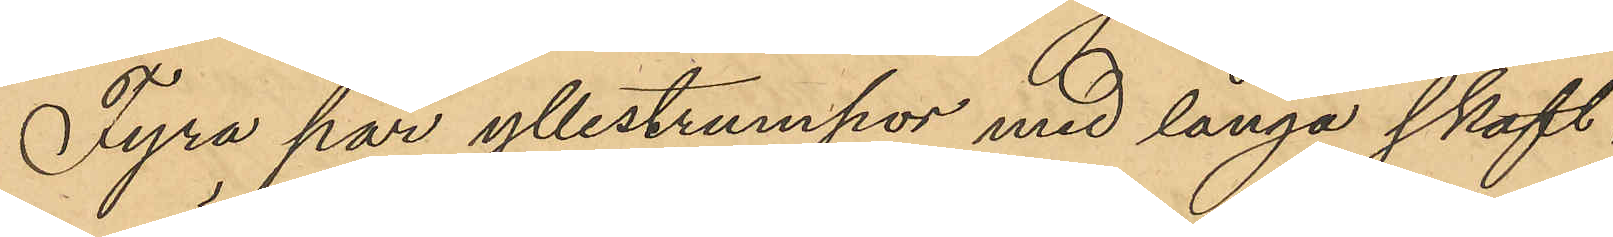Fyra par yllestrumpor med långa skaft,
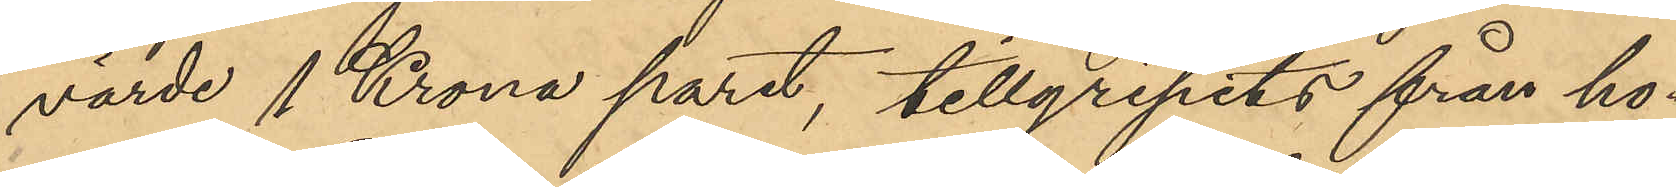värde 1 Krona paret, tillgripits från ho¬
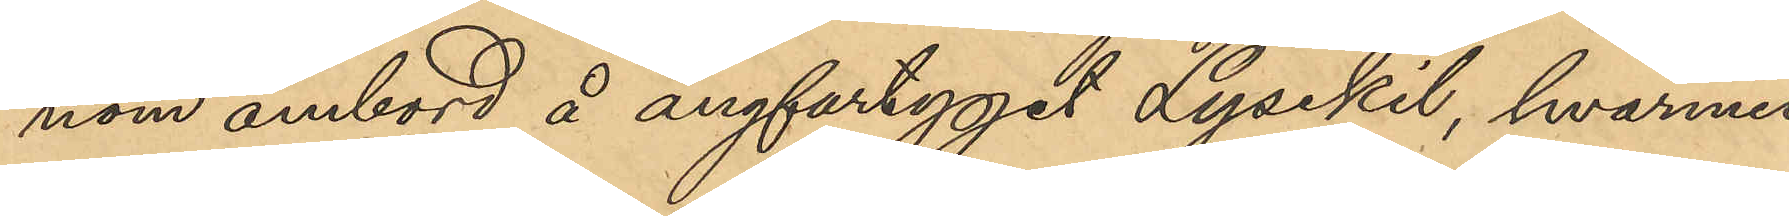nom ombord å ångfartyget Lysekil, hvarmed
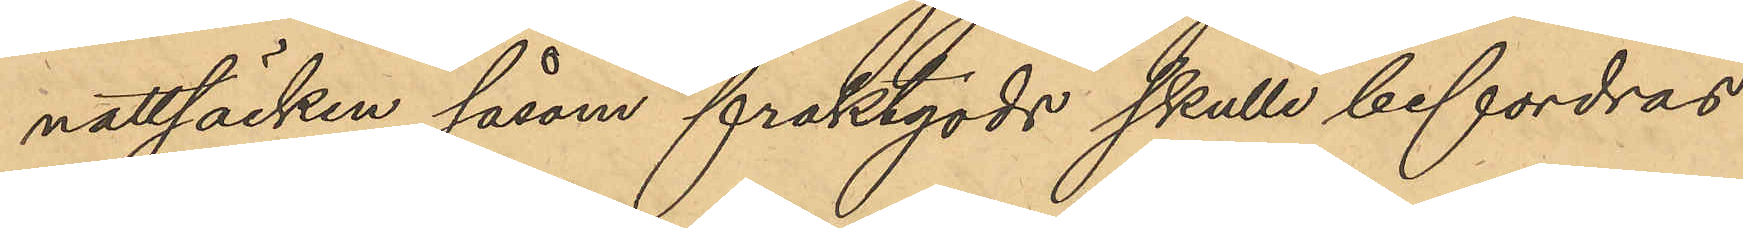nattsäcken såsom fraktgods skulle befordras
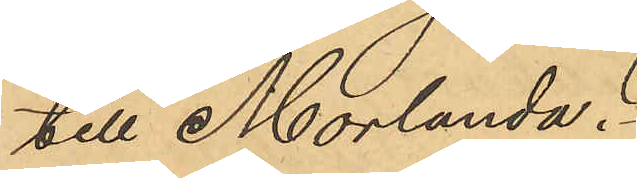till Morlanda.
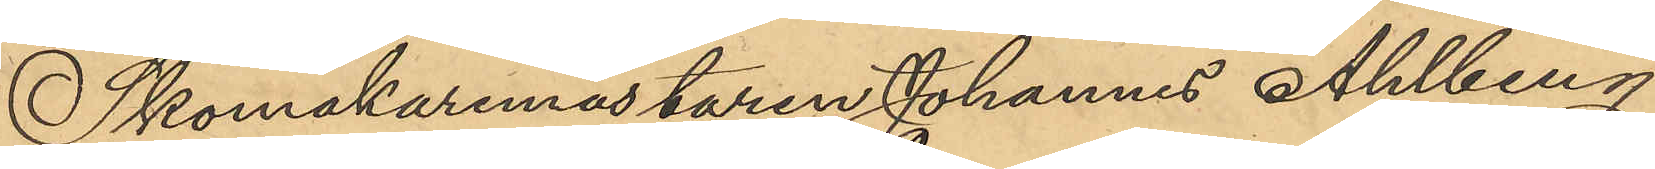Skomakaremästaren Johannes Ahlberg,
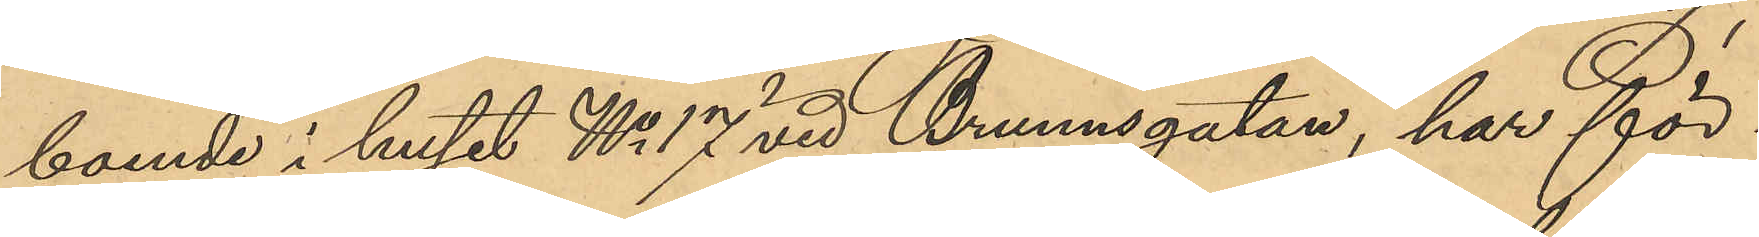boende i huset No 17 vid Brunnsgatan, har för¬
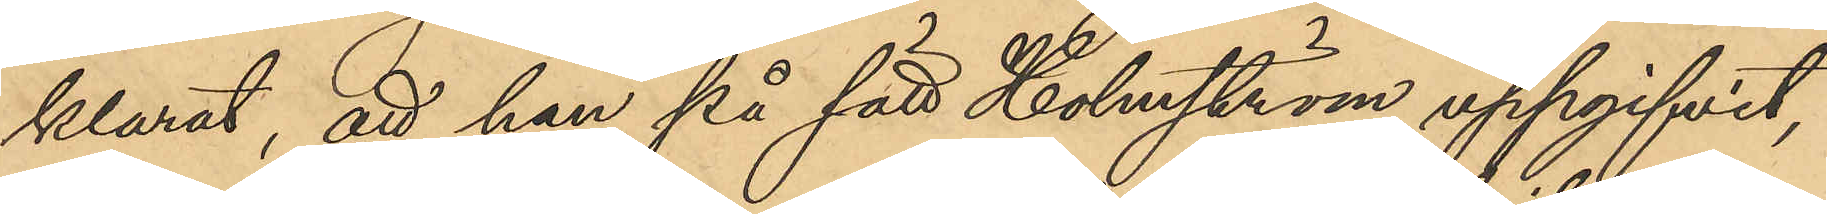klarat, att han, på sätt Holmström uppgifvit,
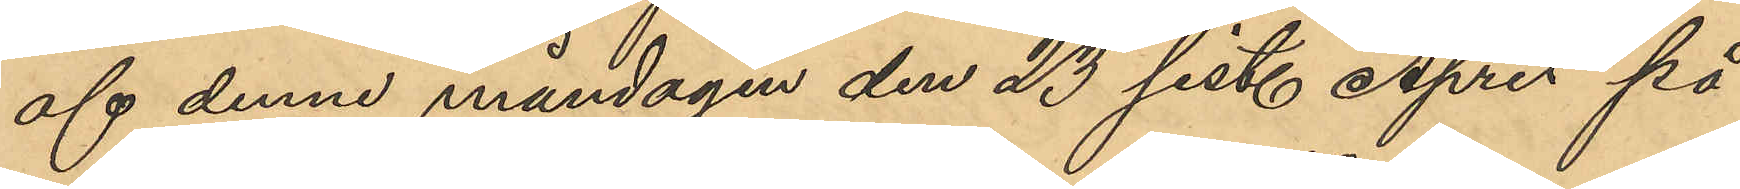af denne måndagen den 23 sist. April på
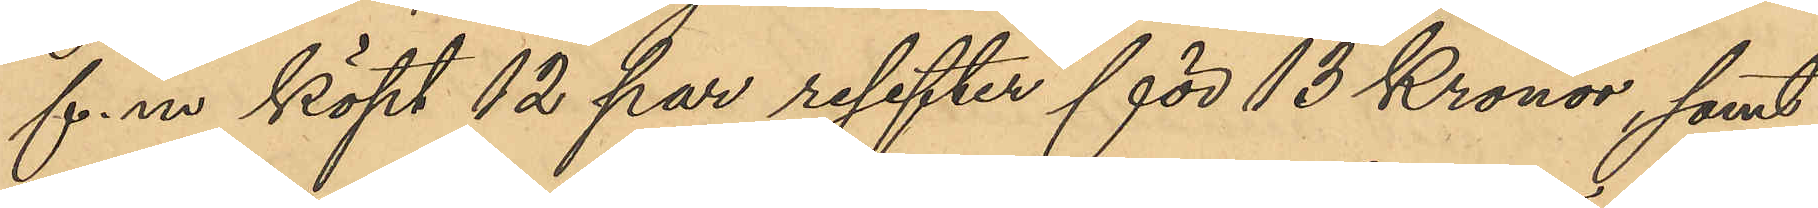f.m. köpt 12 par resefter för 13 Kronor, samt
